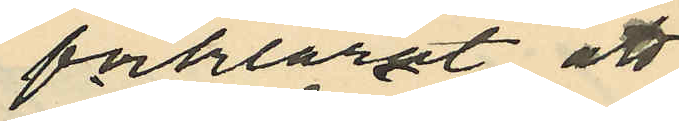förklarat att
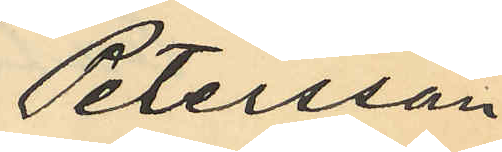Petersson
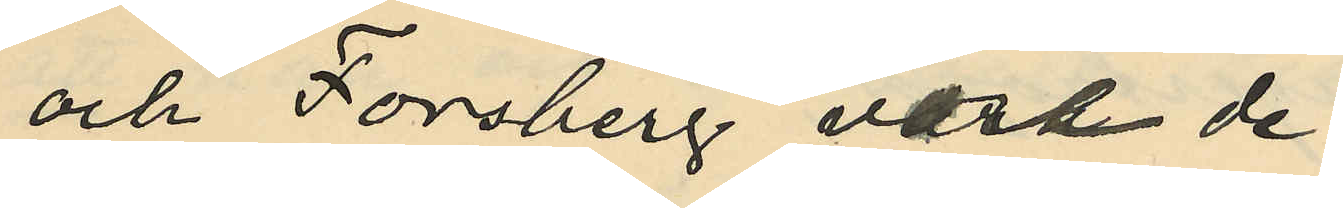och Forsberg voro de
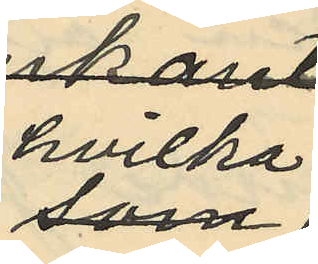hvilka
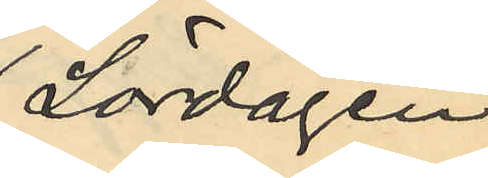Lördagen
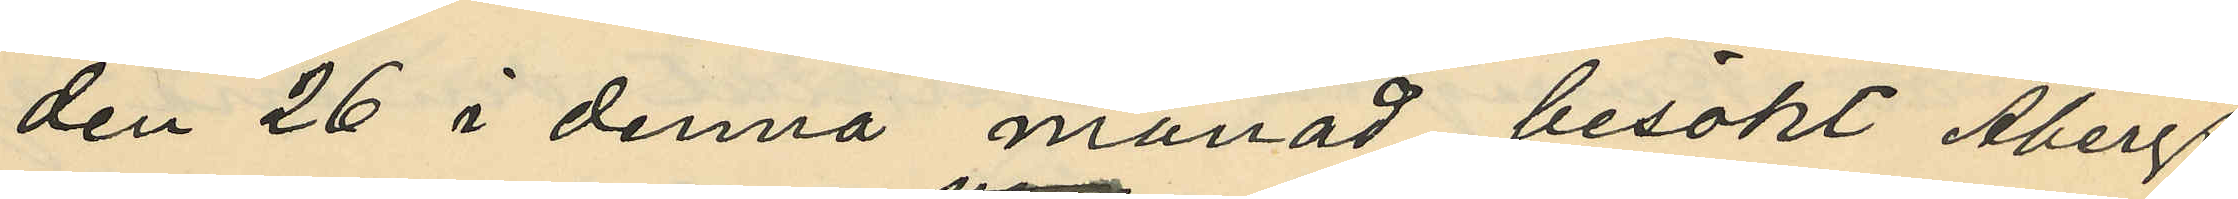den 26 i denna månad besökt Åbergs
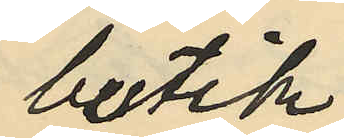butik
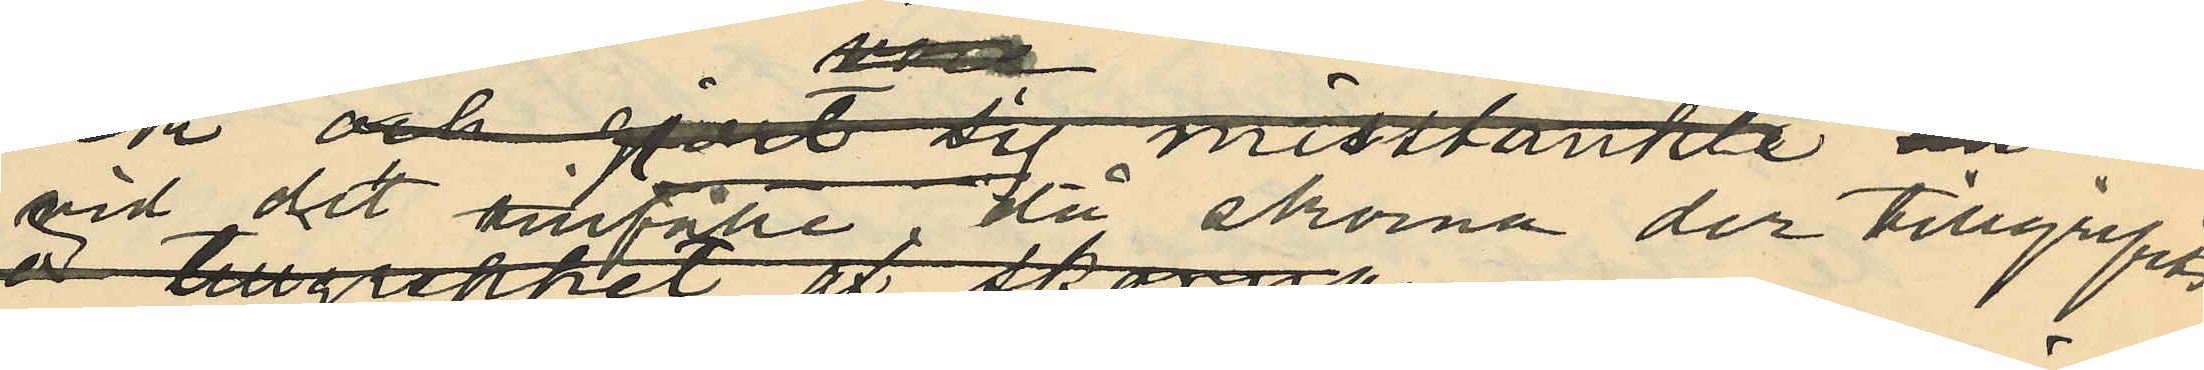vid det tillfälle då skorna der tillgripits.
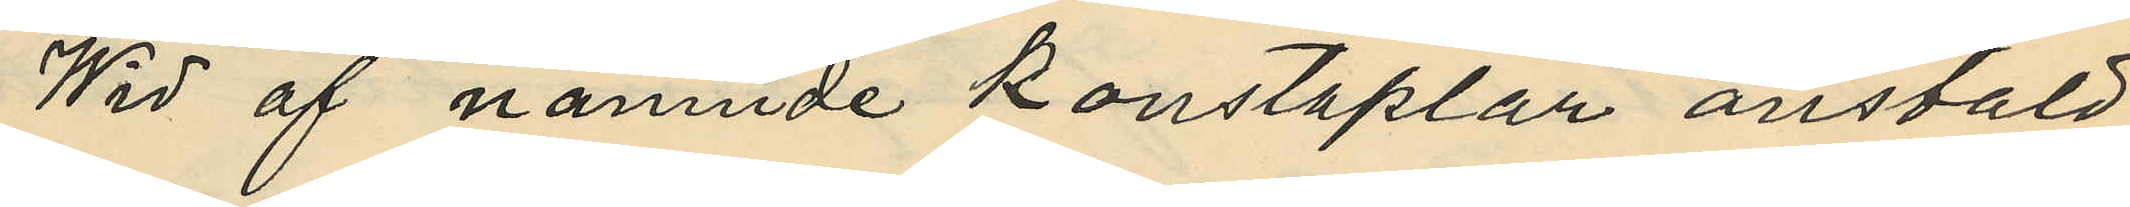Wid af nämnde konstaplar anstäld
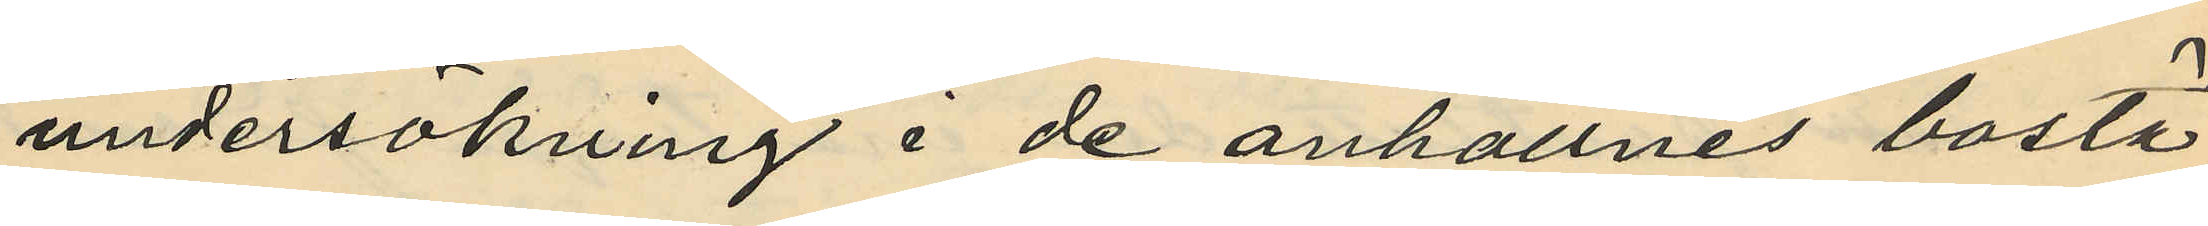undersökning i de anhållnes bostä¬
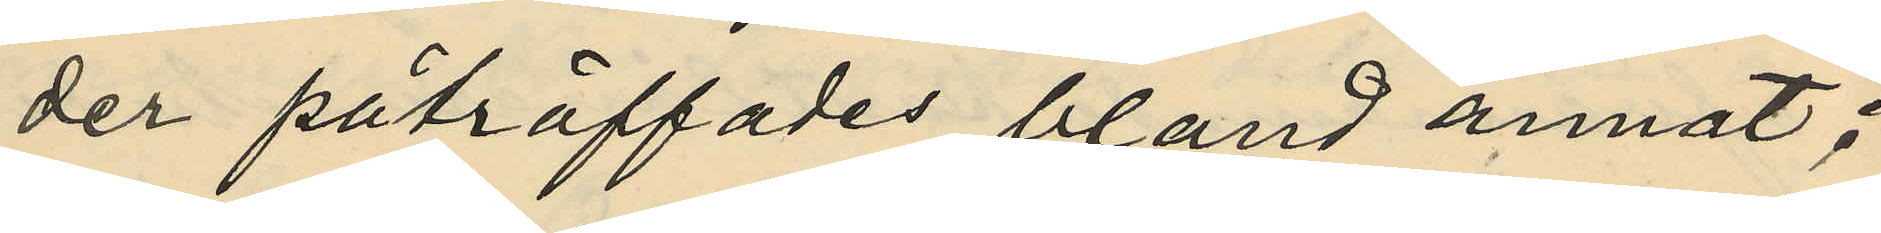der påträffades bland annat:
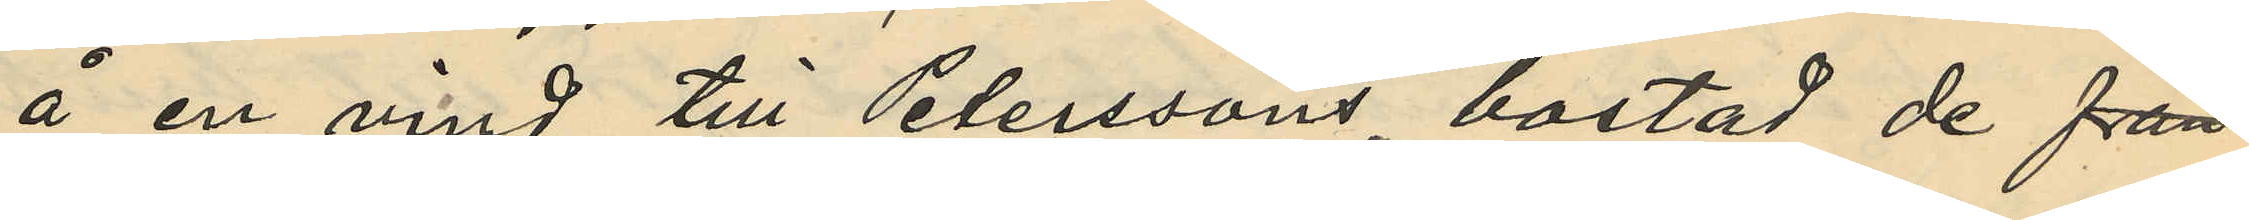å en vind till Peterssons bostad de från
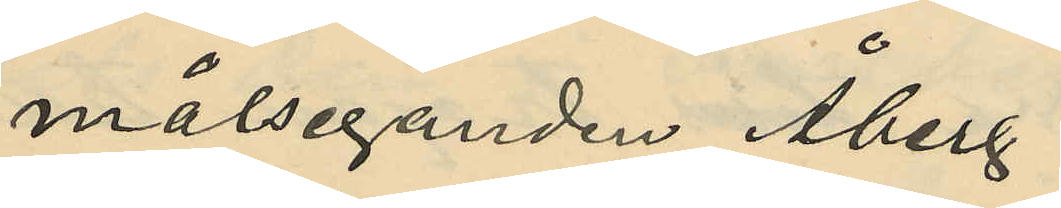målseganden Åberg
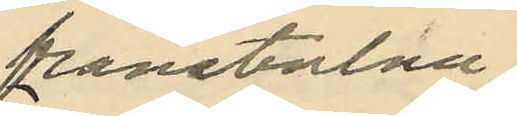frånstulna
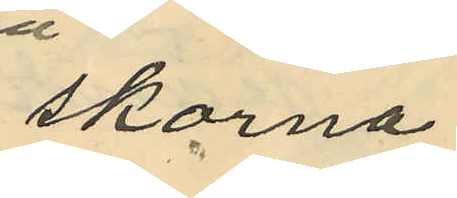skorna
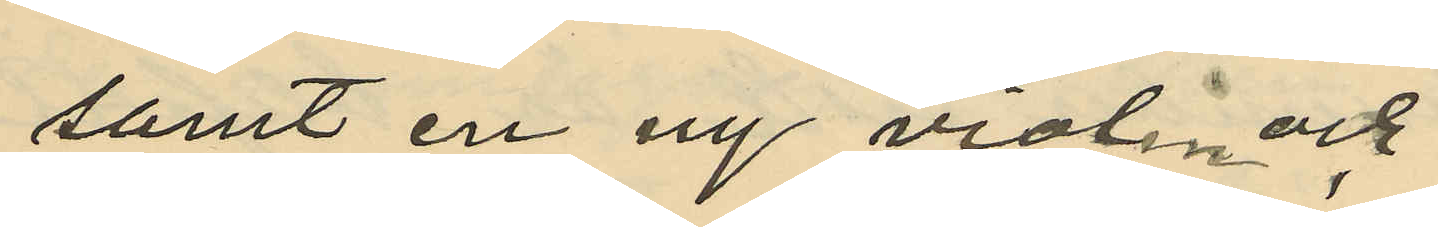samt  en ny violin och
